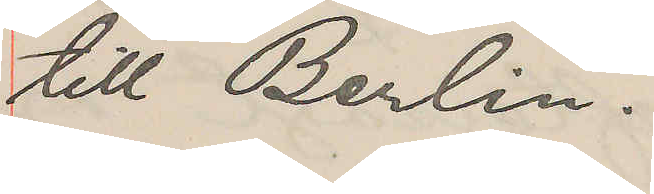till Berlin.
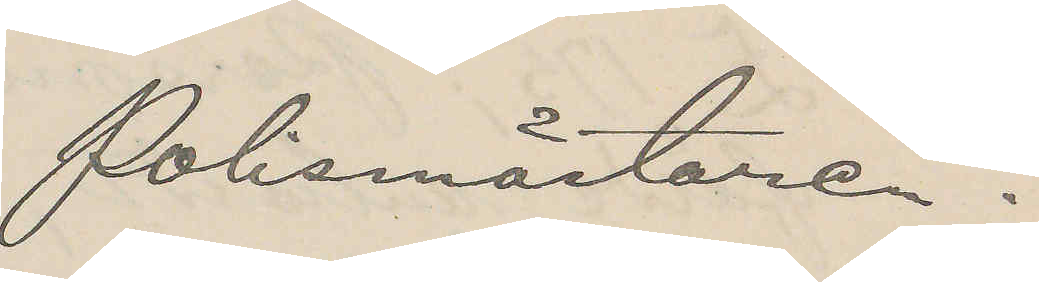Polismästaren.
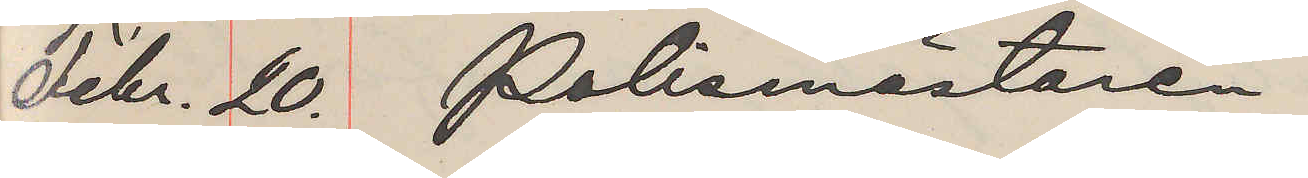Febr. 20. Polismästaren
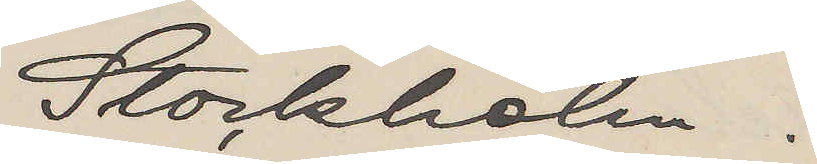Stockholm.
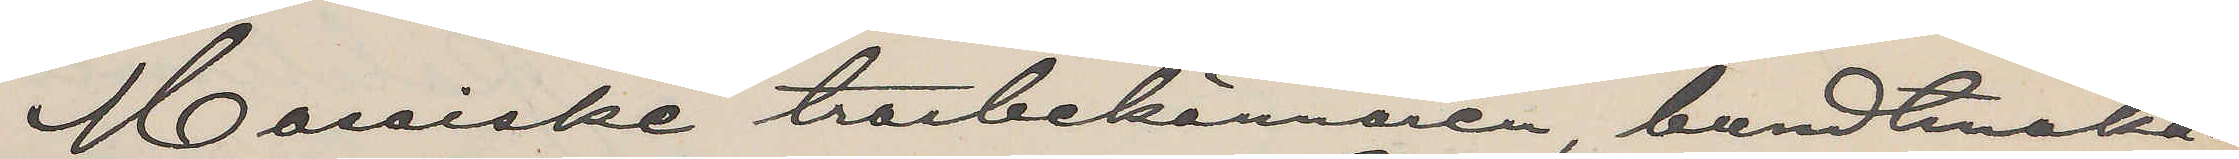Mosaiske trosbekännaren, bundtmaka¬
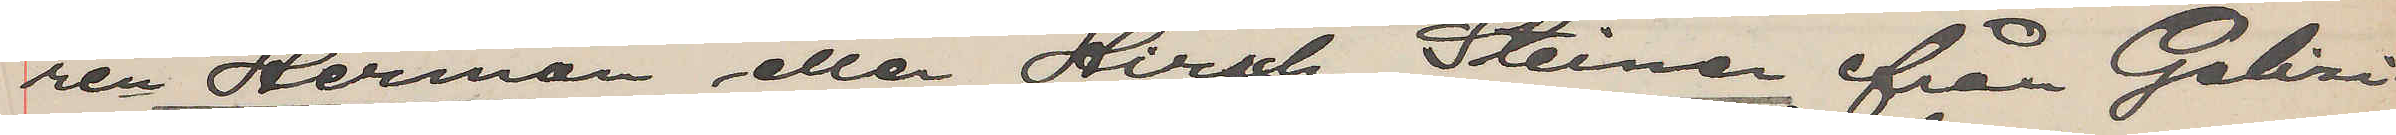ren Herman eller Hirsch Steiner från Galizi¬
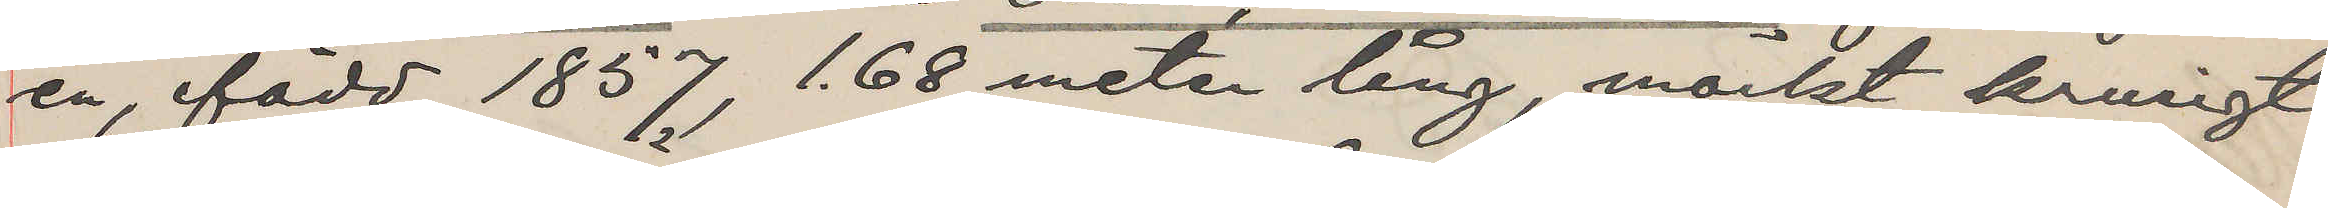en, född 1857, 1,68 meter lång mörkt krusigt
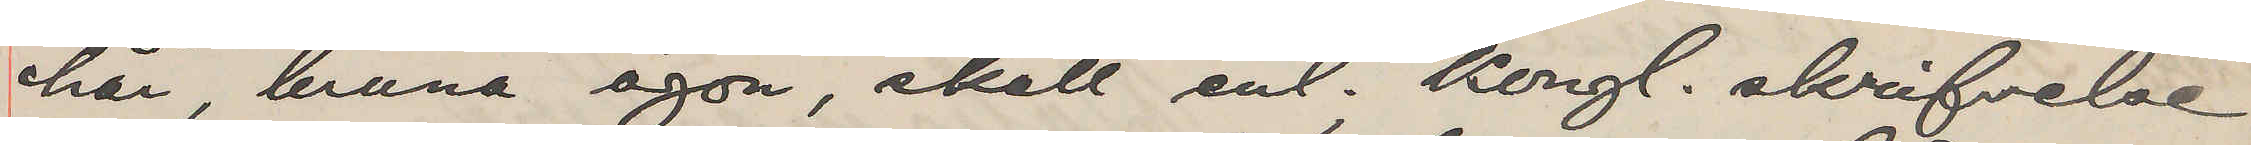hår, bruna ögon, skall enl. Kongl. skrifvelse
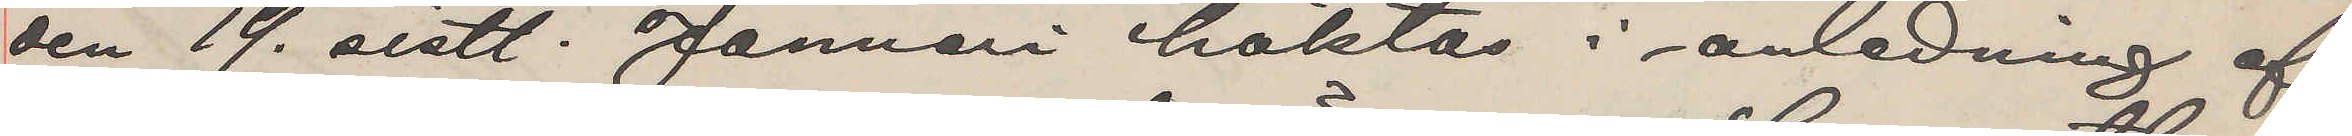den 19 sistl. Januari häktas i anledning af
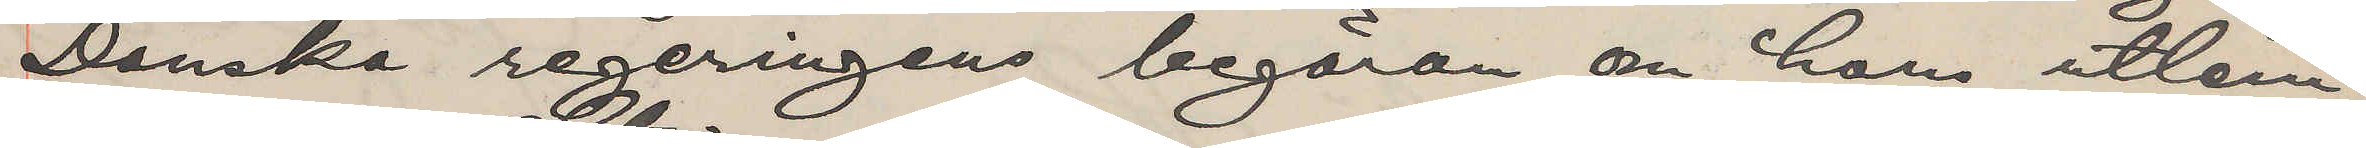Danska regeringens begäran om hans utlem¬
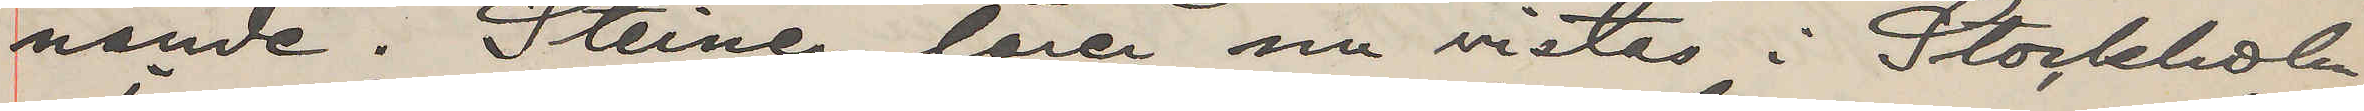nande. Steiner lärer nu vistas i Stockholm.
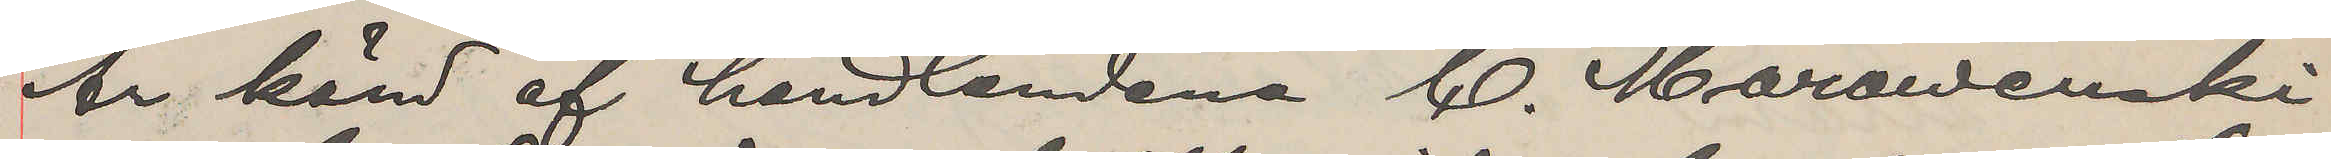Är känd af handlandena C. Marawenski
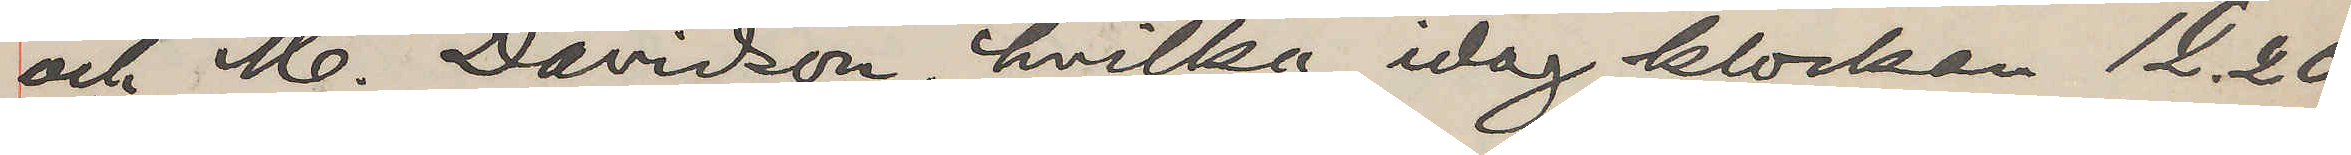och M. Davidson, hvilka idag klockan 12.20
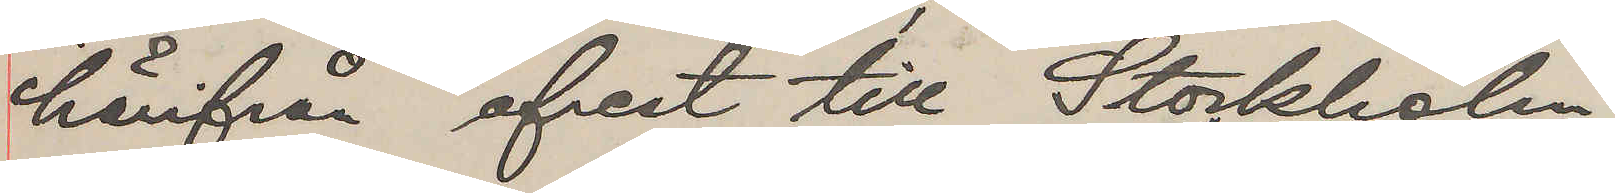härifrån afrest till Stockholm.
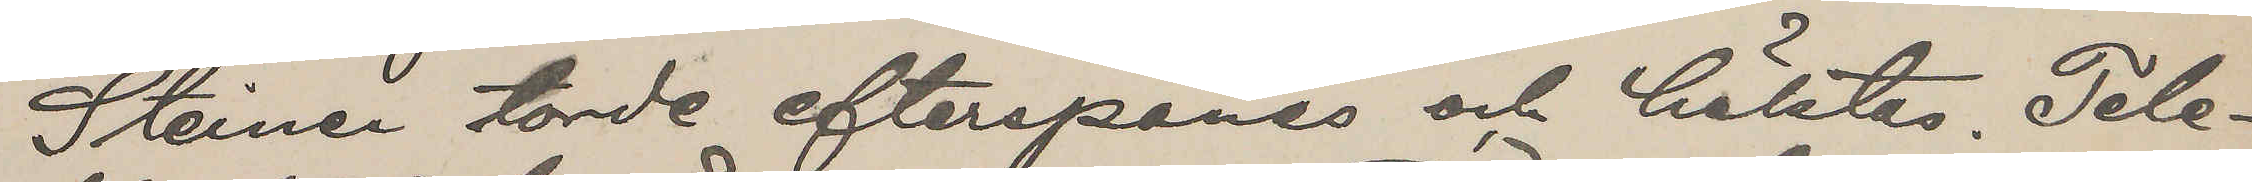Steiner torde efterspanas och häktas. Tele¬
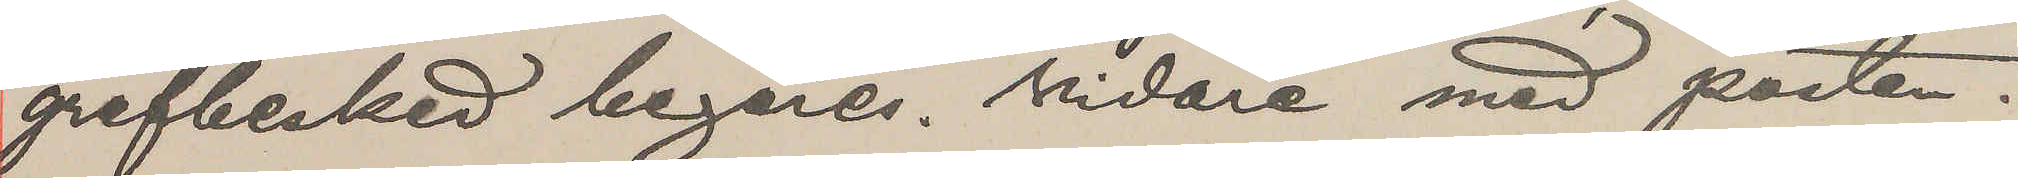grafbesked begäres. Vidare med posten.
